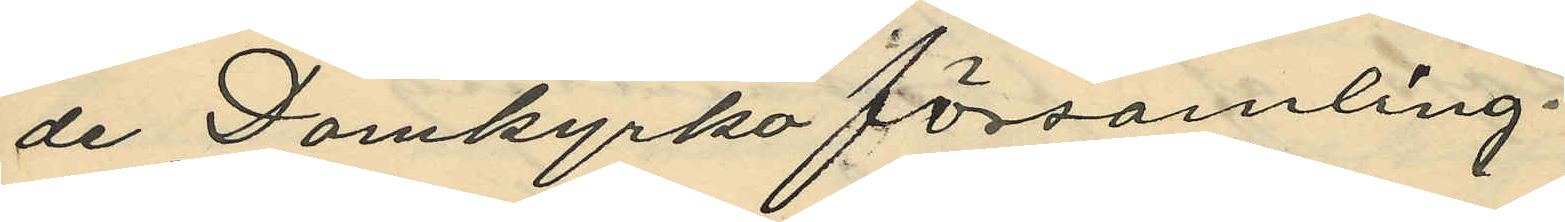de Domkyrko församling. 
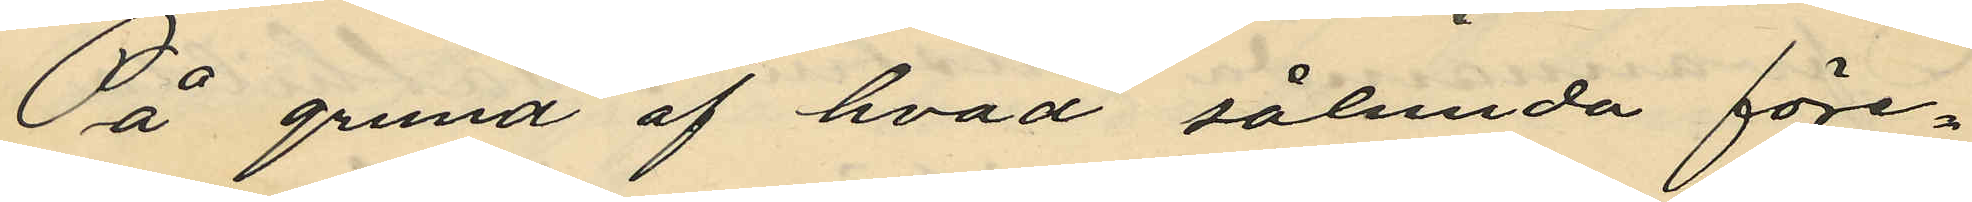På grund af hvad sålunda före¬
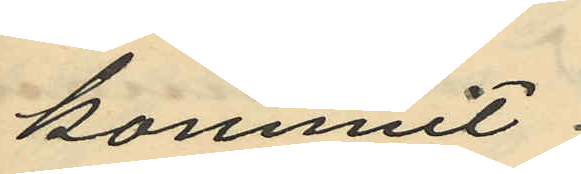kommit.
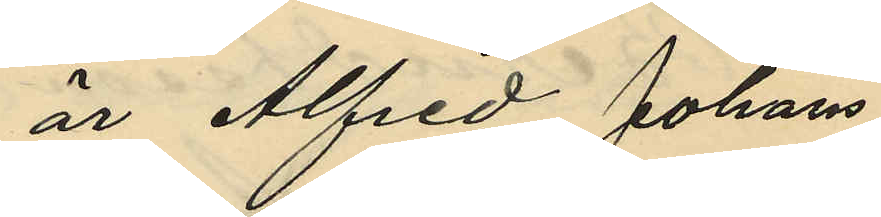är Alfred Johans¬
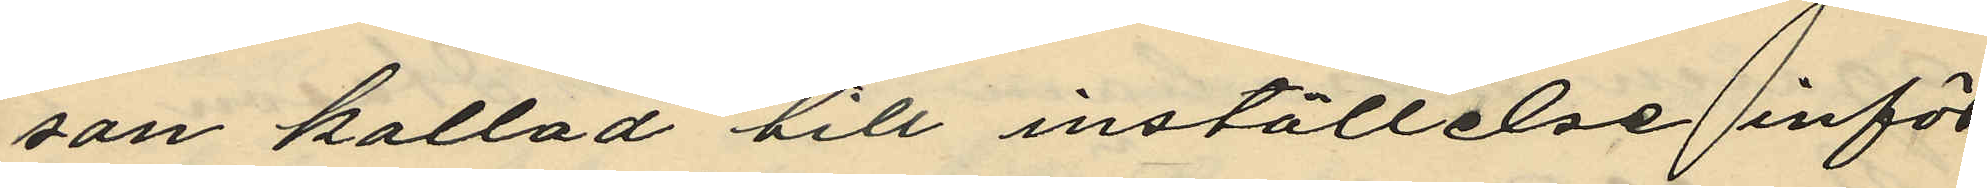son kallad till inställelse inför
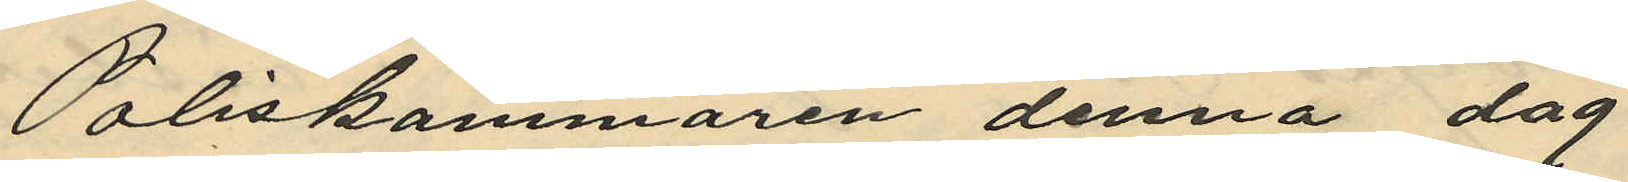Poliskammaren denna dag
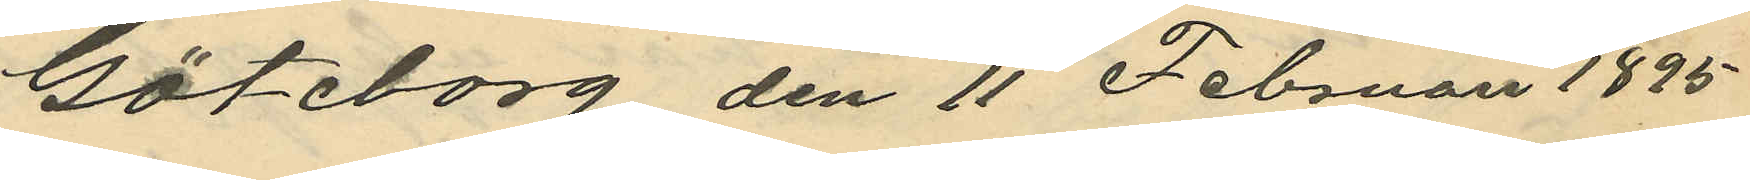Göteborg den 11 Februari 1895.
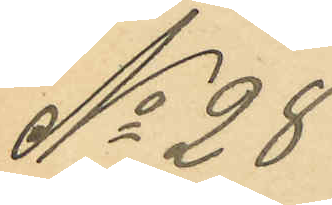No 28
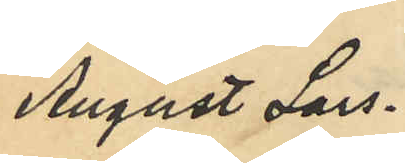August Lars¬
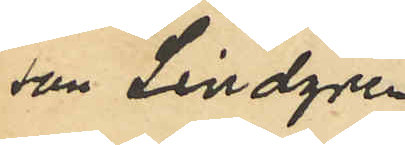son Lindgren
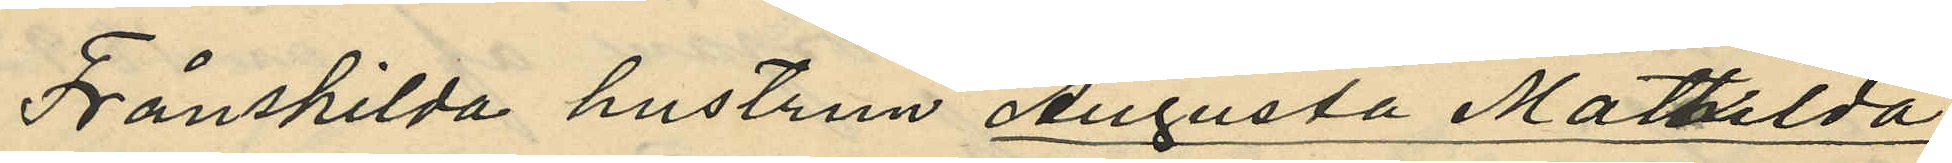Frånskilda hustrun Augusta Mathilda
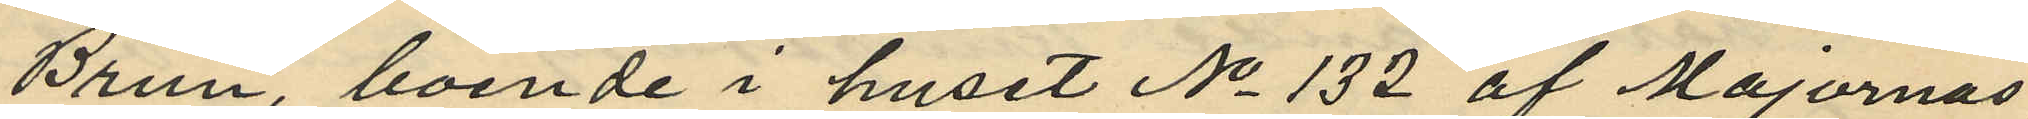Brun, boende i huset No 132 af Majornas
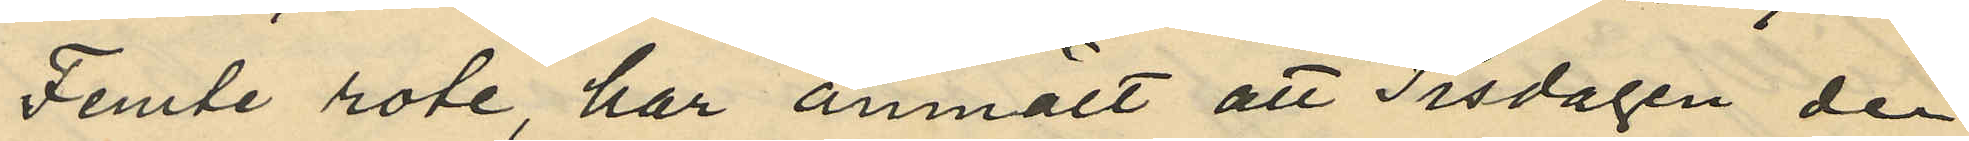Femte rote, har anmält att Tisdagen den
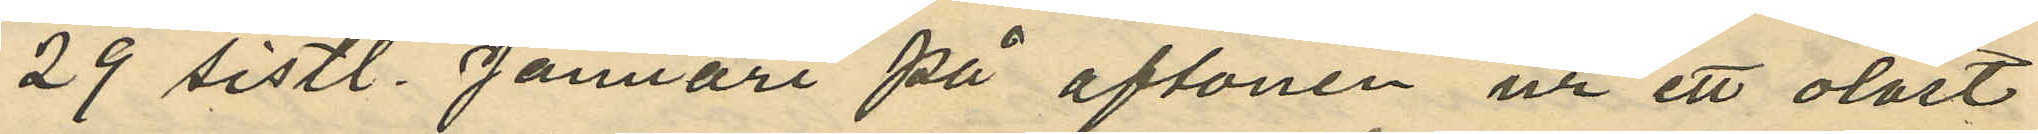29 sistl. Januari på aftonen ur ett olåst
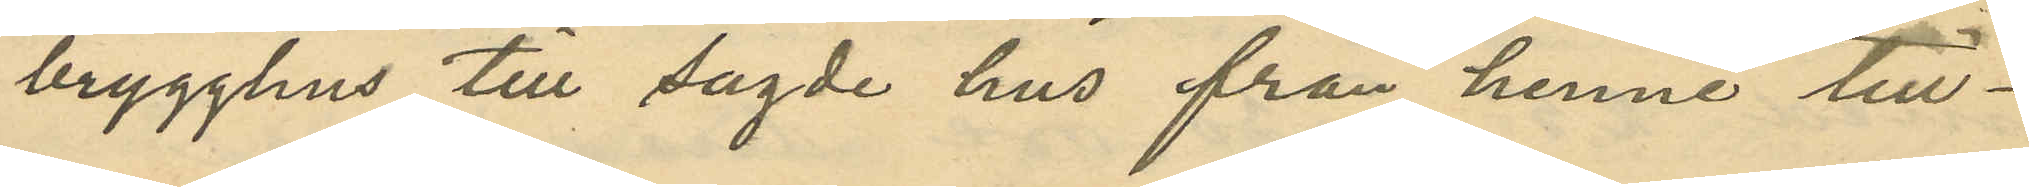brygghus till sagde hus från henne till¬
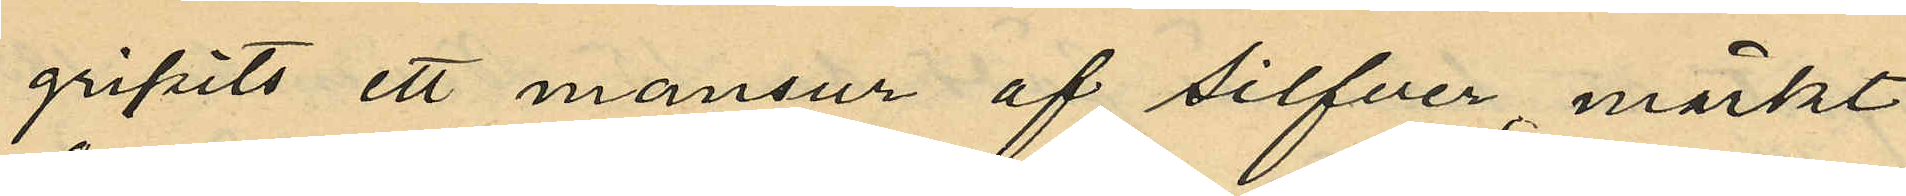gripits ett mansur af silfver, märkt
